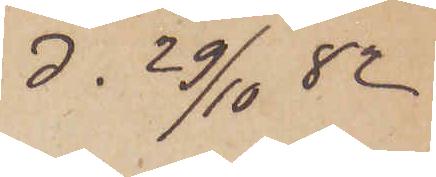d. 29/10 82
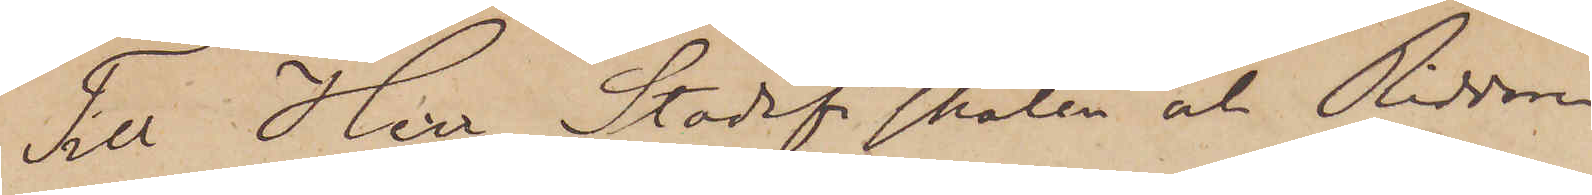Till Herr Stadsfiskalen och Riddaren
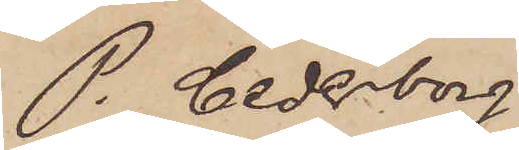P. Cederborg
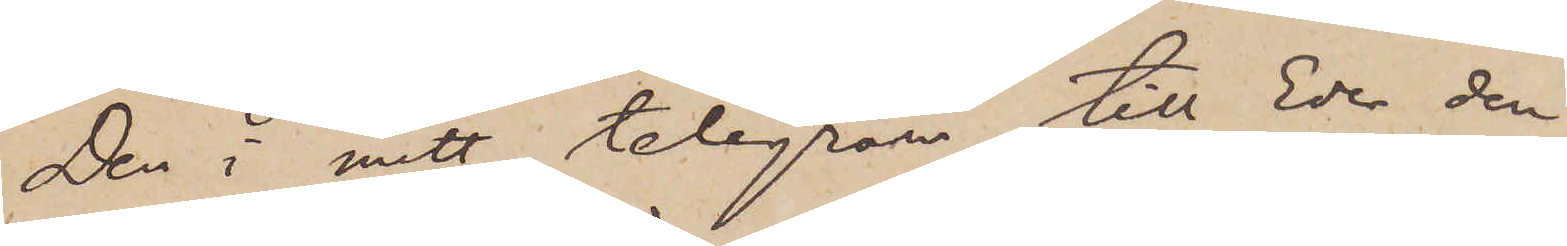Den i mitt telegram till Eder den
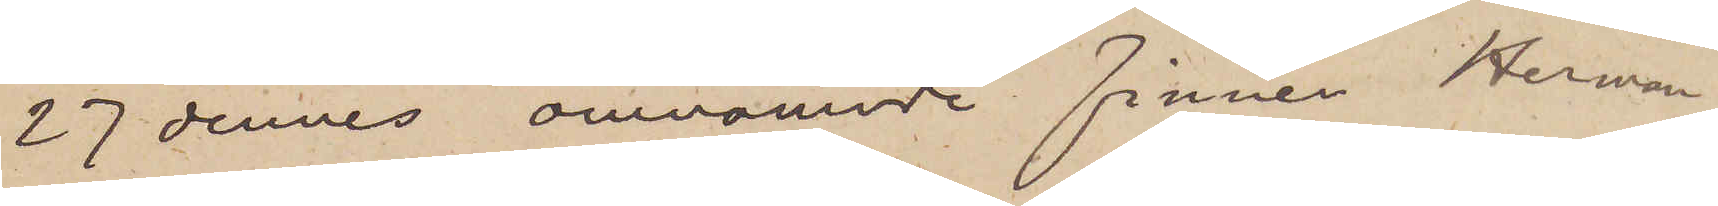27 dennes omnämnde finnen Herman
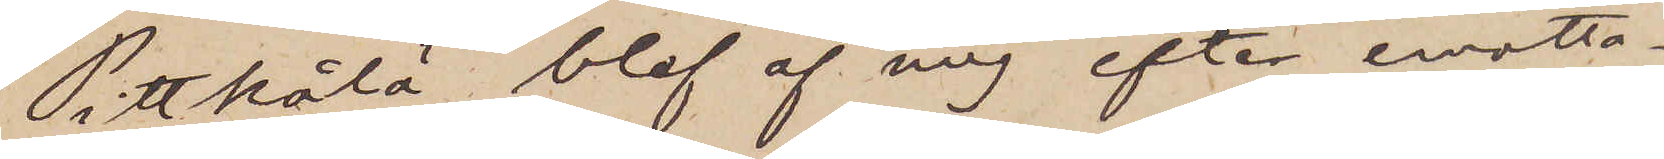Pittkålä blef af mig efter emotta¬
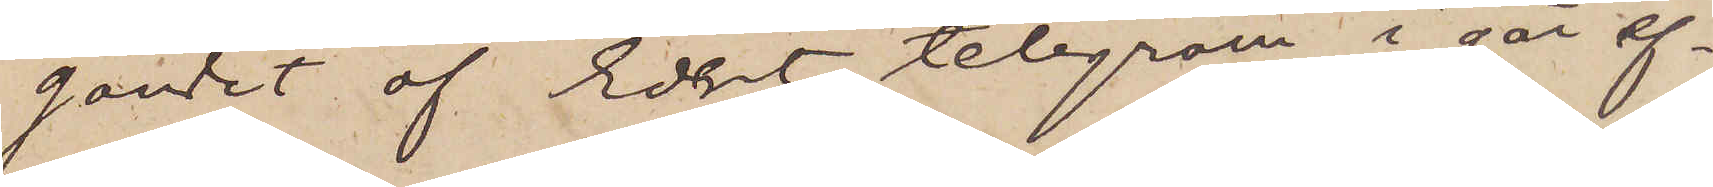gandet af Edert telegram i går ef¬
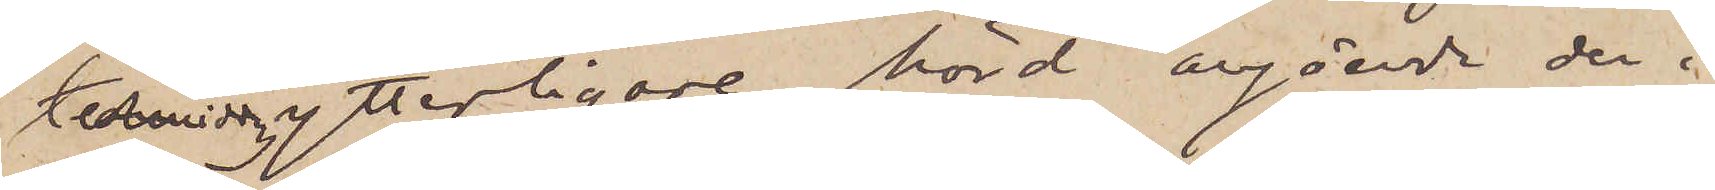termiddag ytterligare hörd angående den i
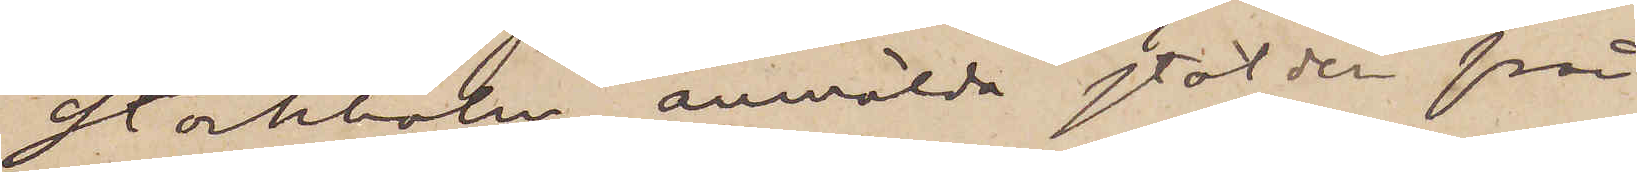Stockholm anmälda stölden från
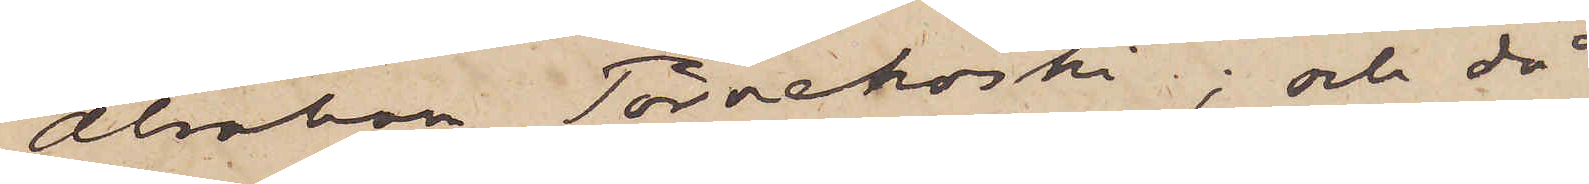Alsikon Törnekoski; och då
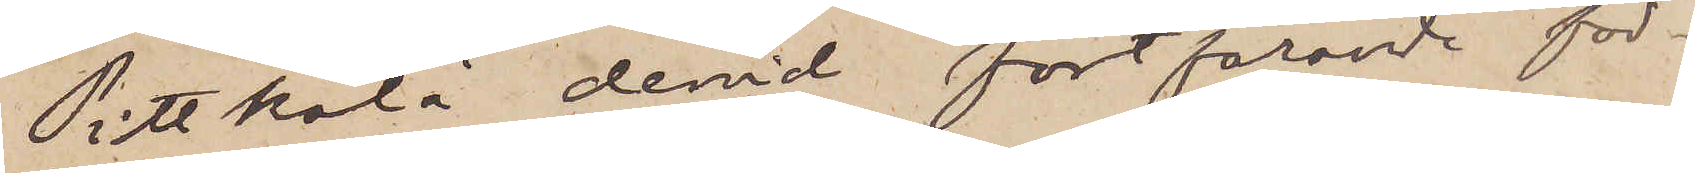Pittkålä dervid fortfarande för¬
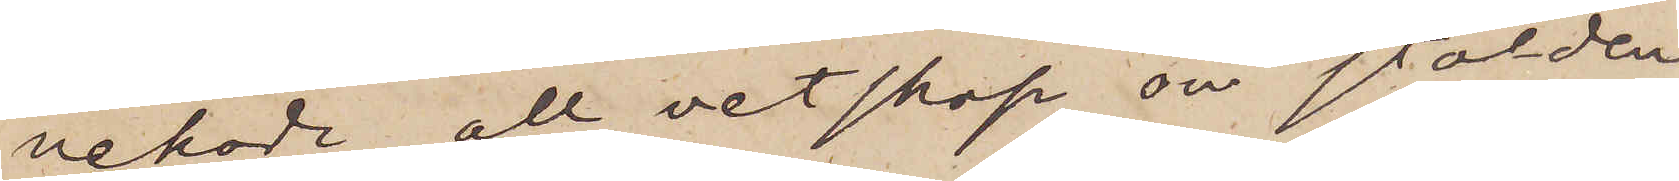nekade all vetskap om stölden
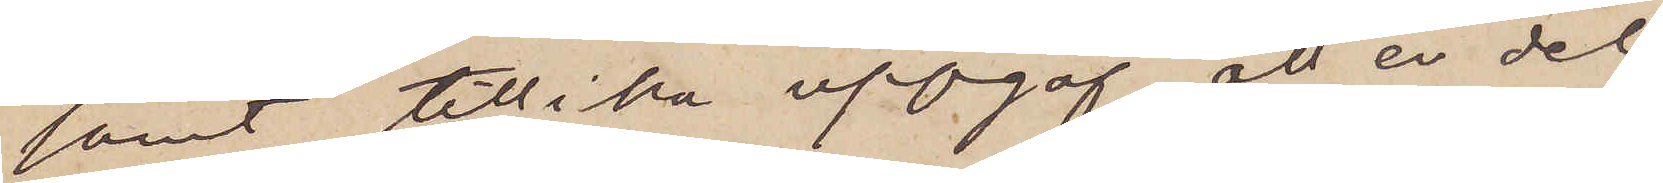samt tillika uppgaf, att en del
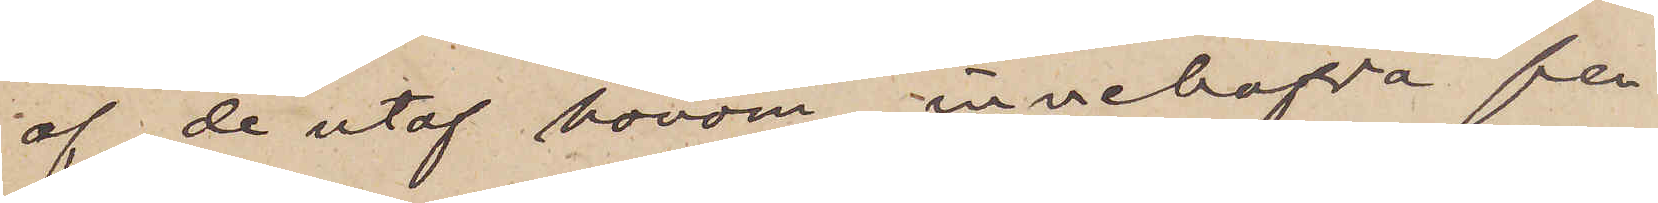af de utaf honom innehafva pen¬
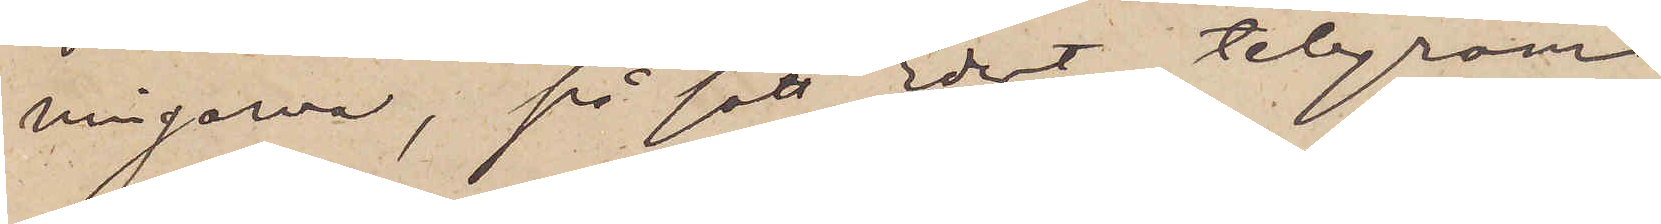ningarna, på sätt Edert telegram
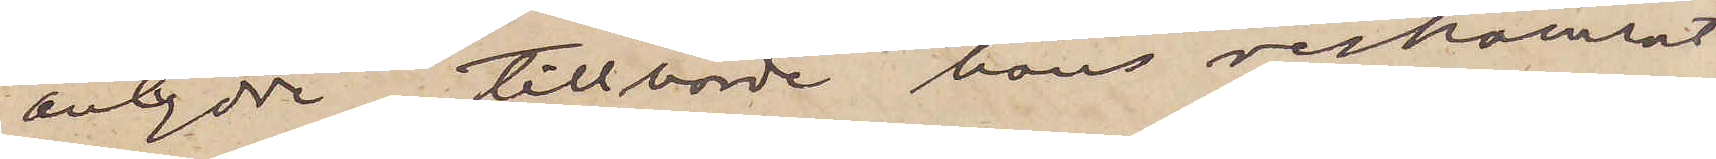antydde, tillhörde hans reskamrat
